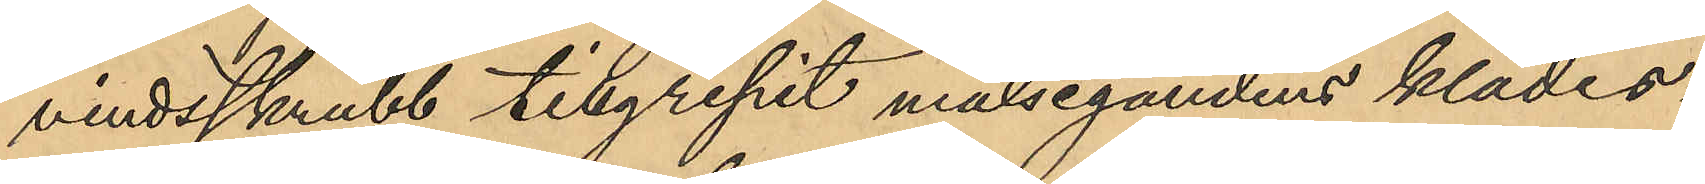vindsskrubb tillgripit målsegandens klädes¬
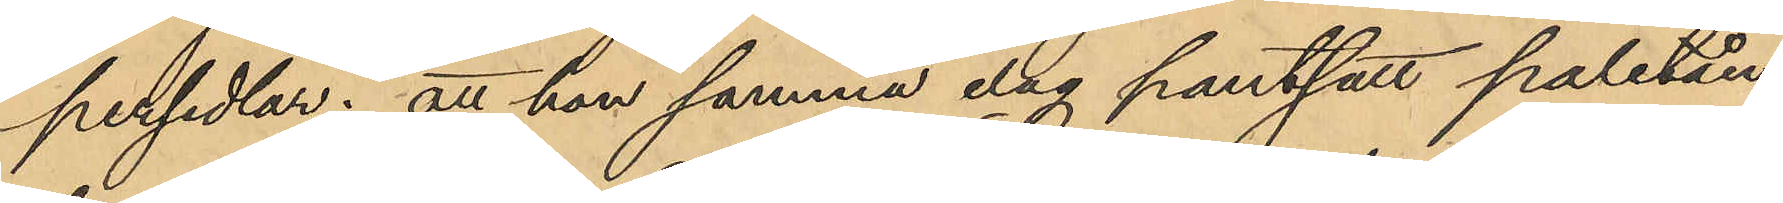persedlar; att hon samma dag pantsatt paletån,
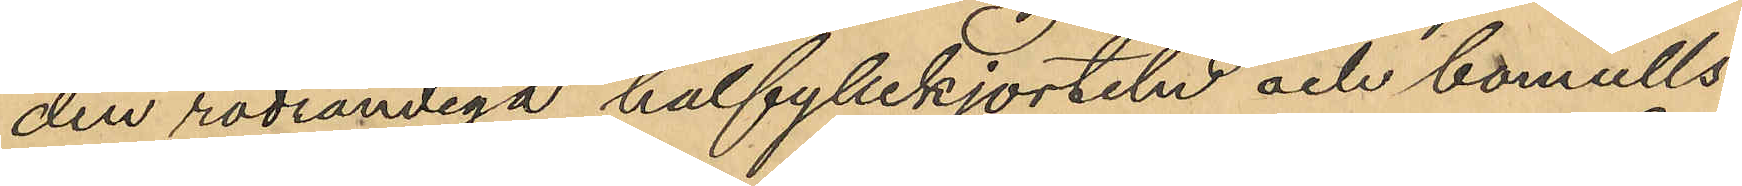den rödrandiga halfyllekjorteln och bomulls¬
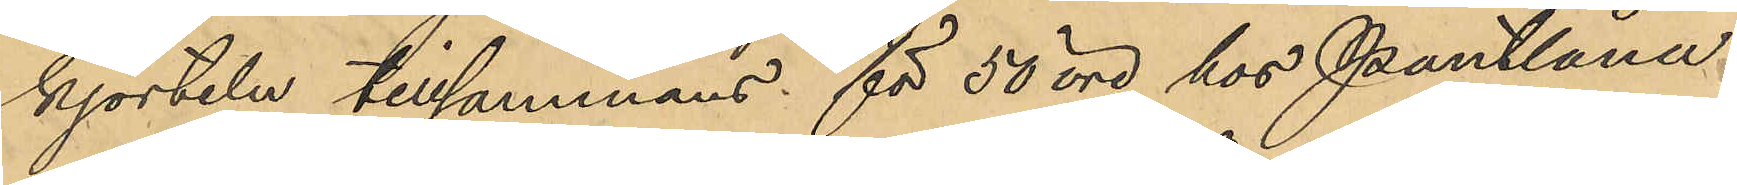kjorteln tillsammans för 50 öre hos Pantlåna¬
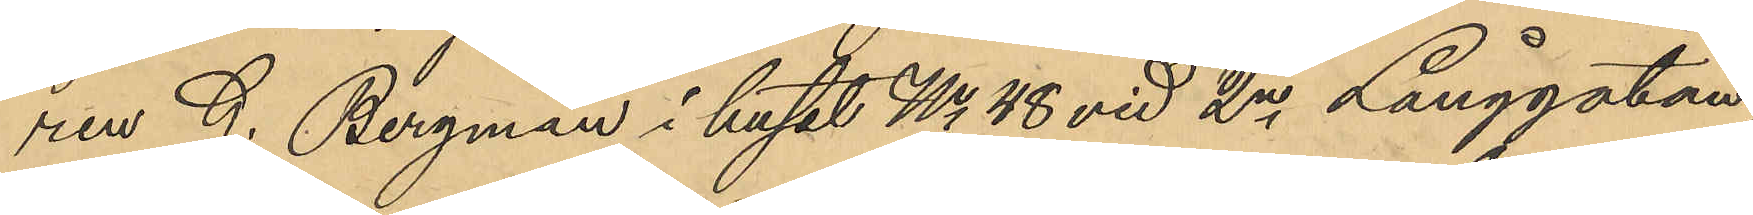ren G. Bergman i huset No 48 vid 2a Långgatan,
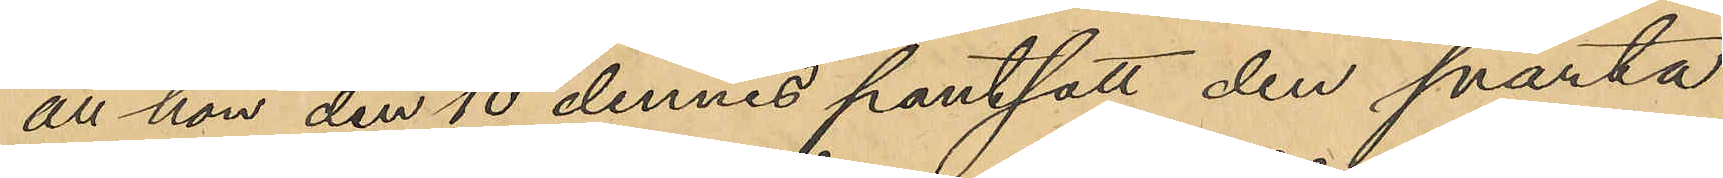att hon den 10 dennes pantsatt den svarta
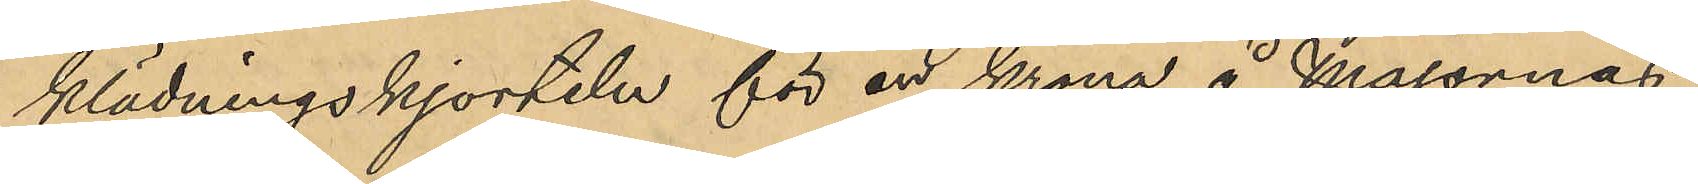klädningskjorteln för en krona å Majornas
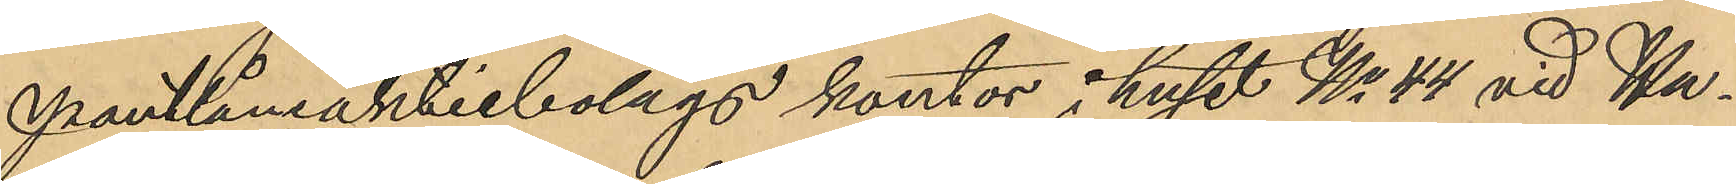Pantlåneaktiebolags kontor i huset No 44 vid Hu¬
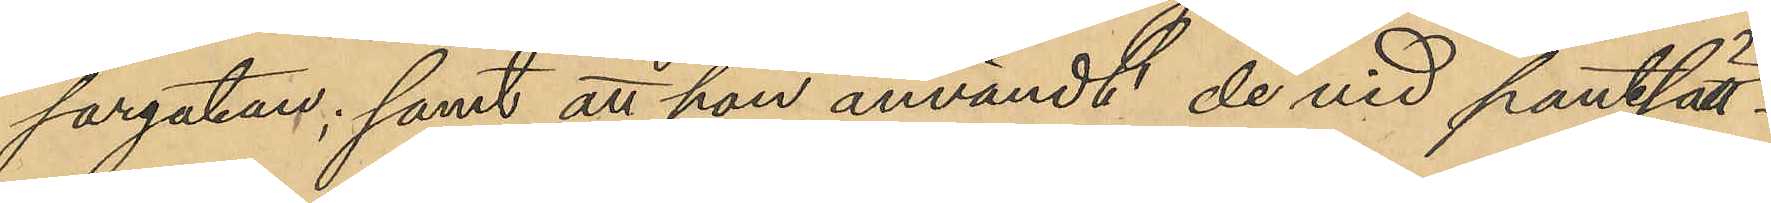sargatan; samt att hon användt de vid pantsätt¬
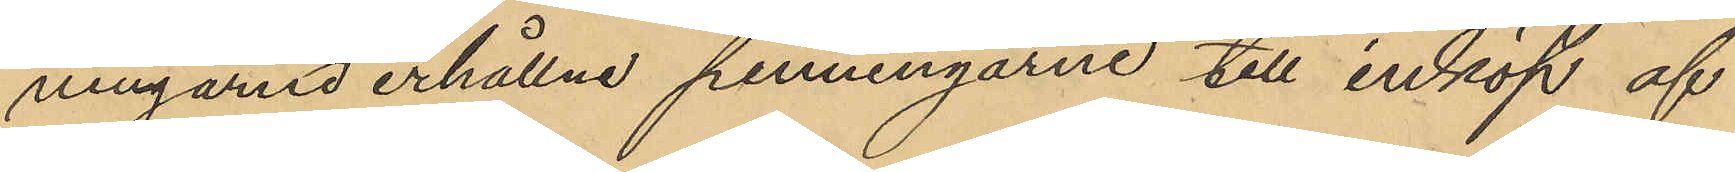ningarne erhållne penningarne till inköp af
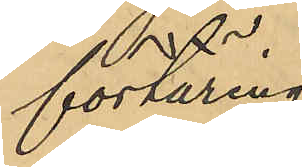förtäring.
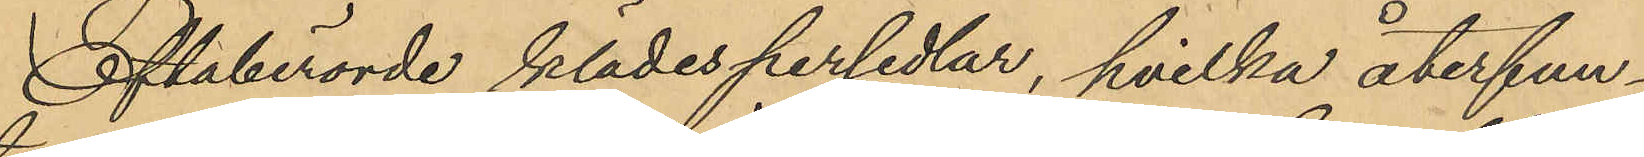Oftaberörde klädespersedlar, hvilka återfun¬
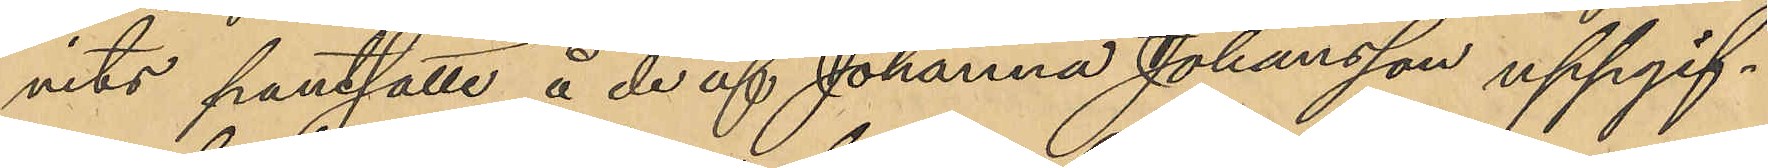vits pantsatte å de af Johanna Johansson uppgif¬
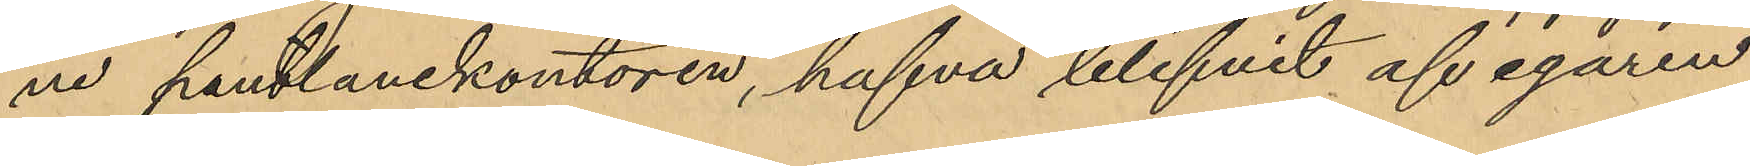ne pantlånekontoren, hafva blifvit af egaren
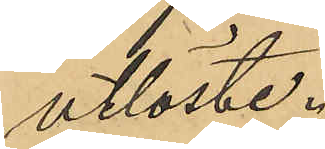utlöste.
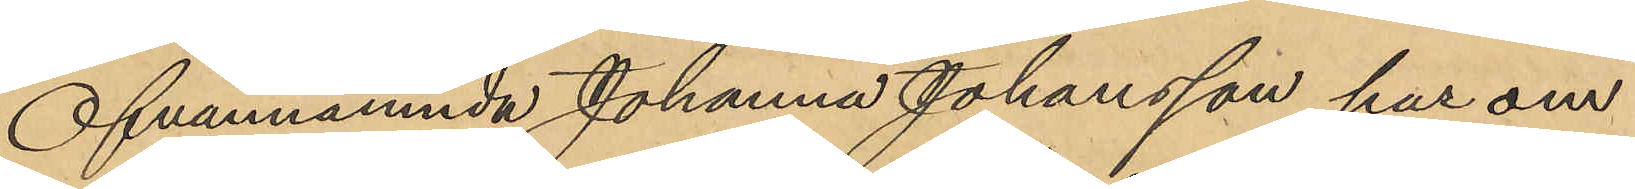Ofvannämnda Johanna Johansson har om
